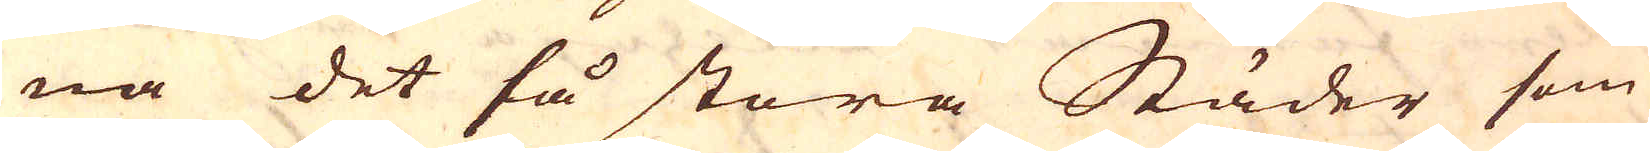na det så stora Städer som
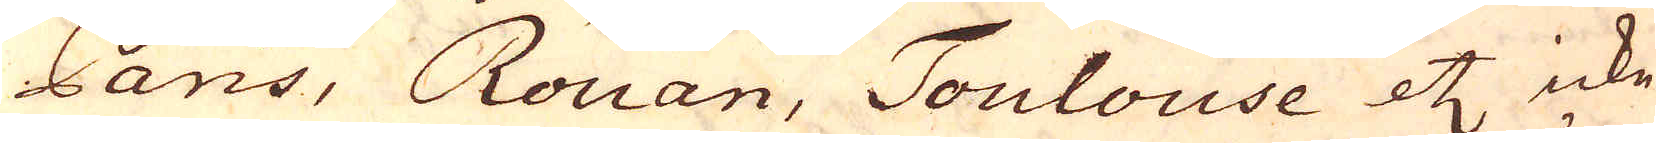Paris, Rouan, Toulouse etc icke
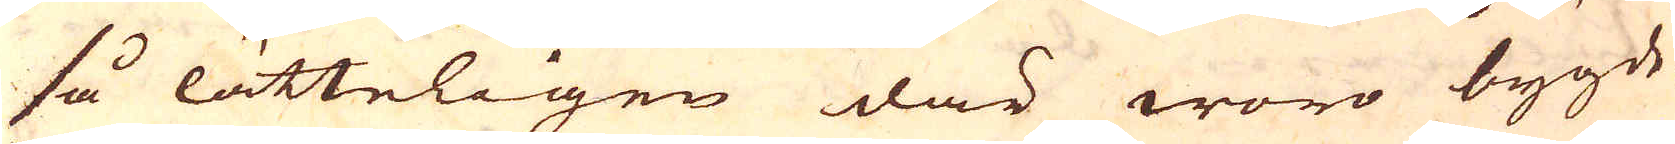så lätteligen där woro bygde,
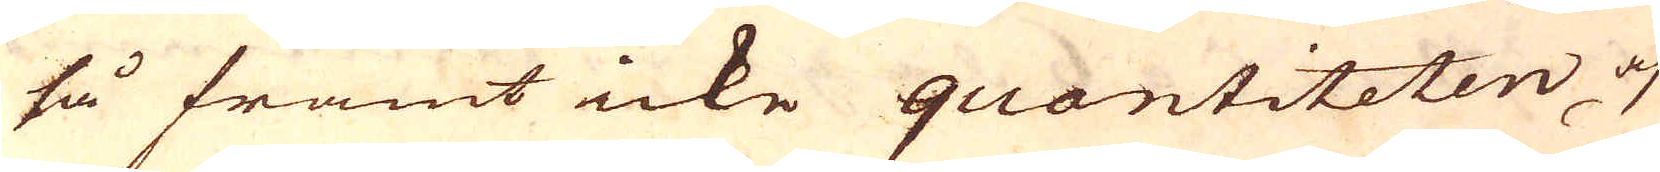så framt icke quantiteten af
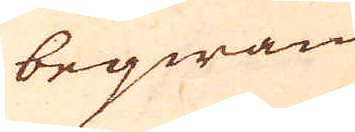beqwän
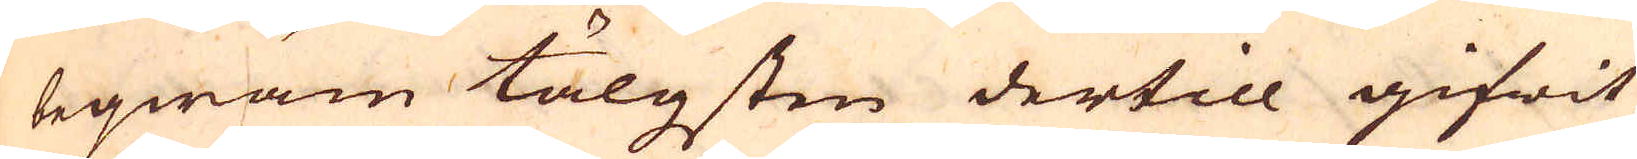beqwäm tälgsten dertill gifwit
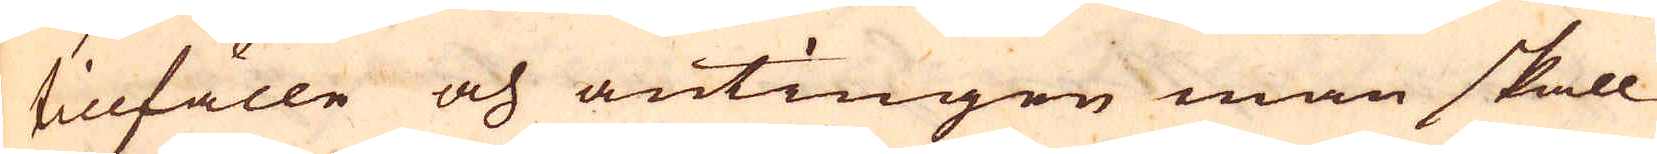tillfälle och antingen man skall
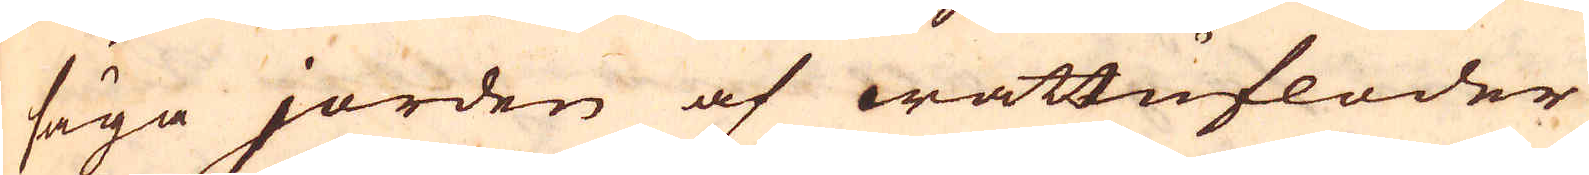säga jorden af wattufloder
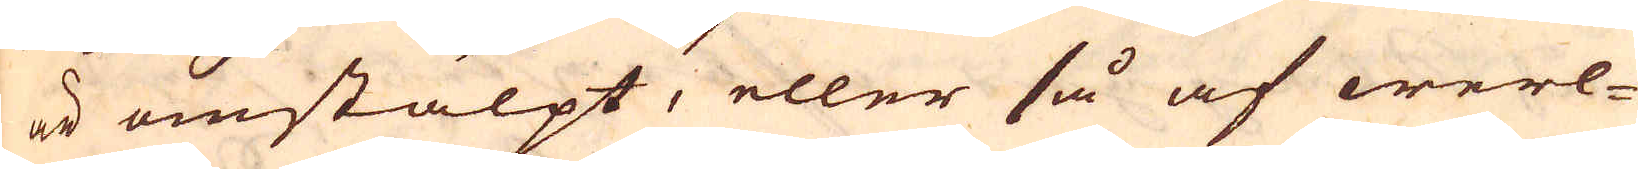är omstälpt, eller så af werl-
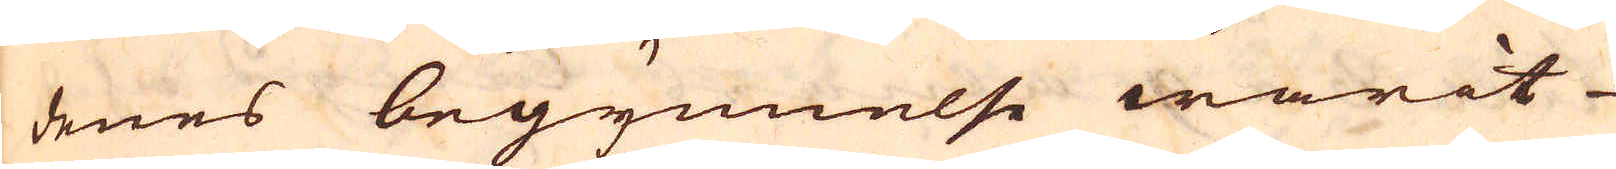denes begynnelse warit-
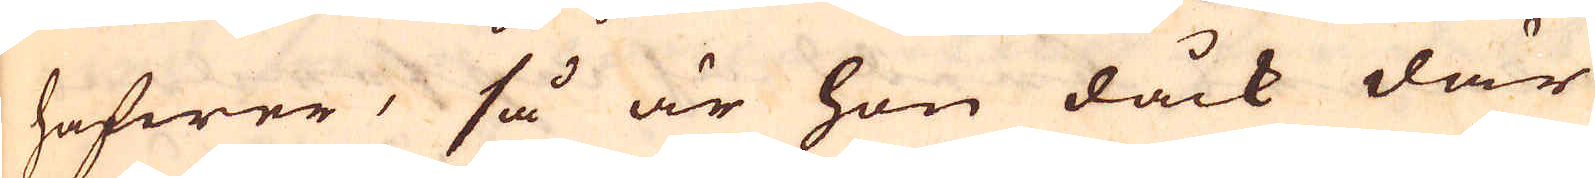hafwer, så är hon dåck där
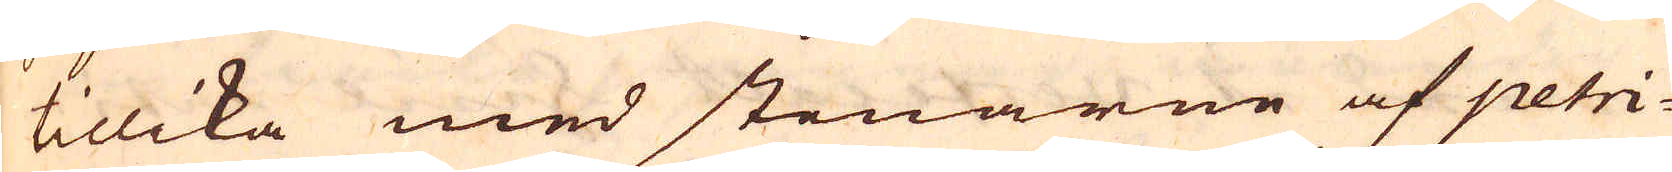tillika med stenarne af petri-
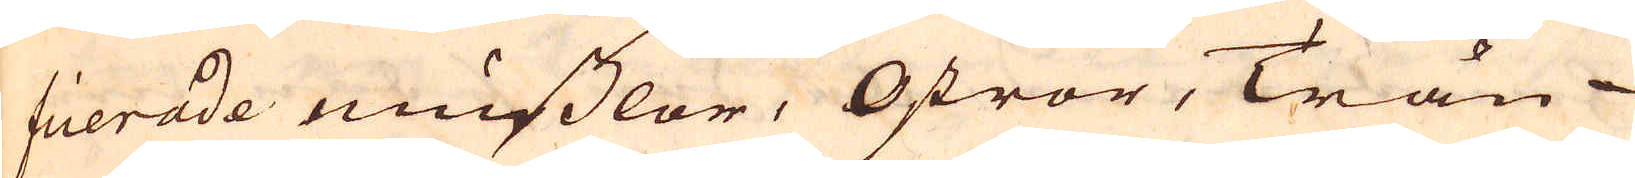fierade musslor, Ostror, Trän
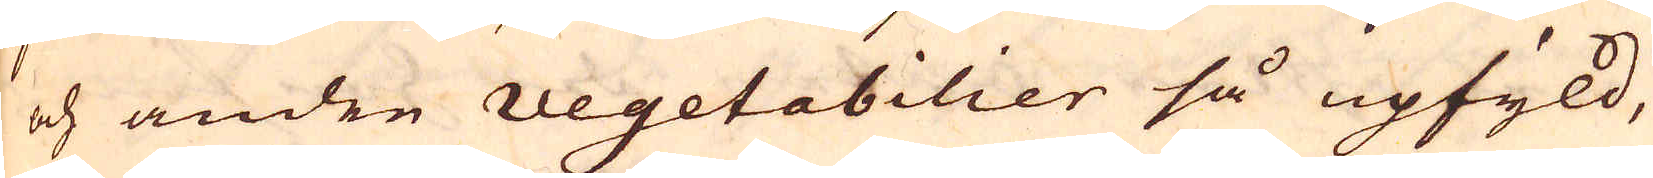och andre vegetabilier så upfyld,
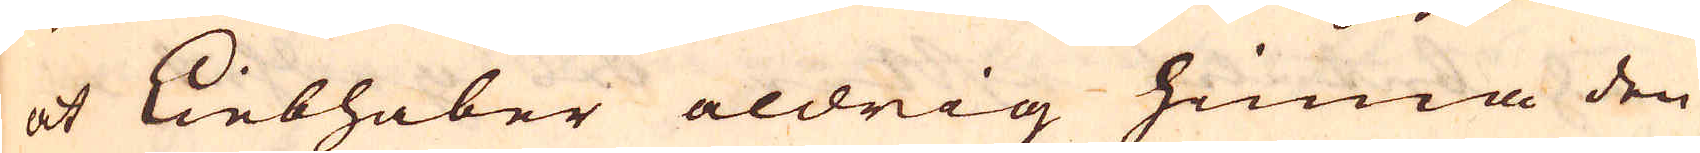at Liebhaber aldrig hinna den
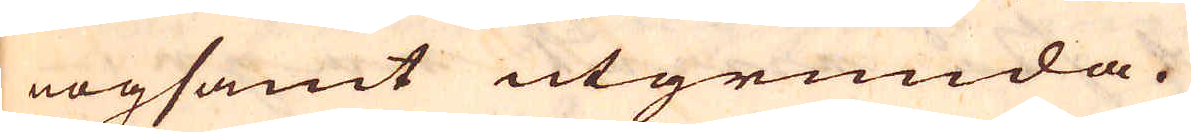nogsamt utgrunda.
